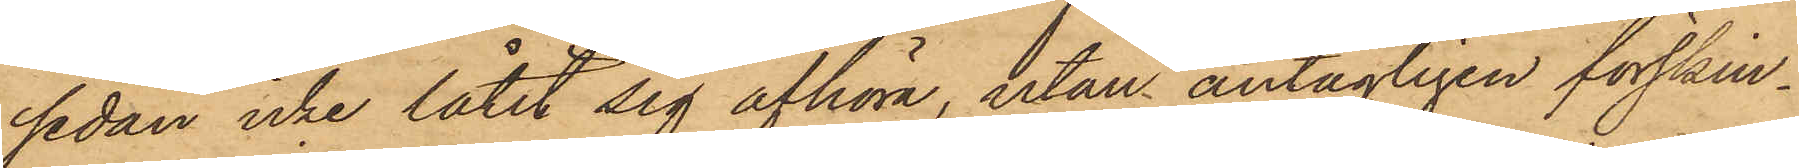sedan icke låtit sig afhöra, utan antagligen förskin¬
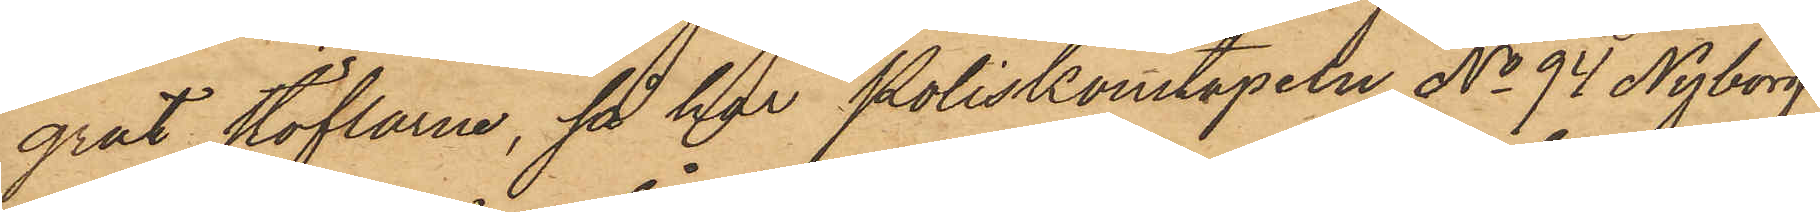grat stöflarne, så har Poliskonstapeln No 94 Nyborg
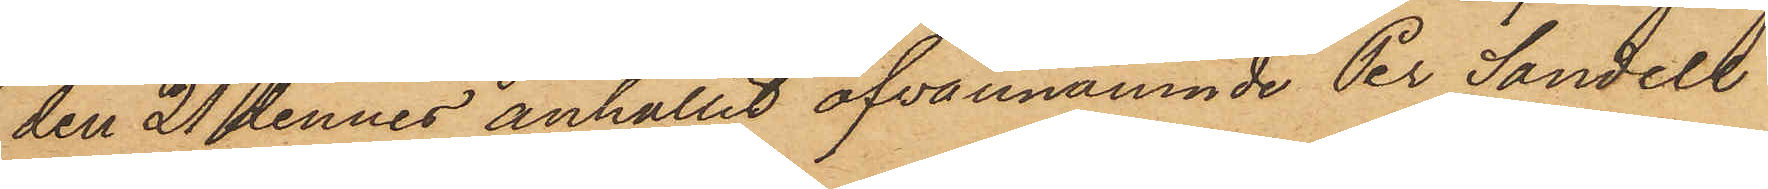den 21 dennes anhållit ofvannämnde Per Sandell
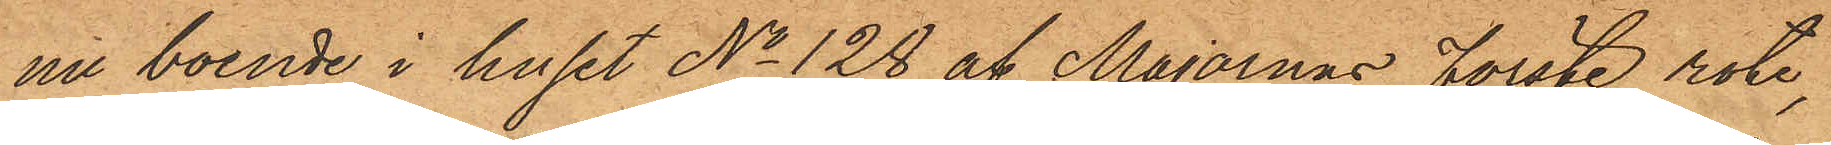nu boende i huset No 128 af Majornas förste rote,
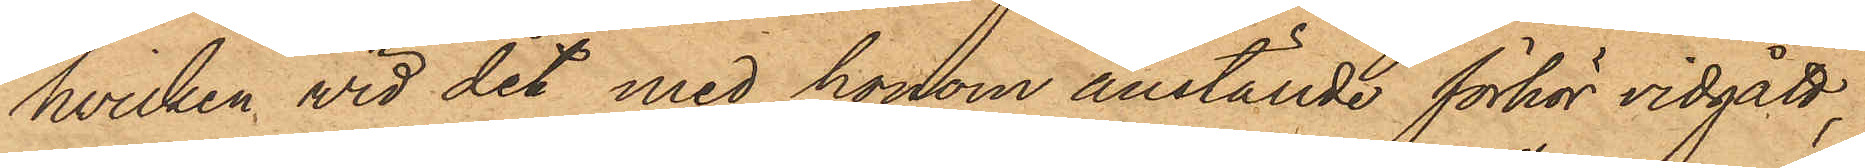hvilken wid det med honom anställde förhör vidgått;
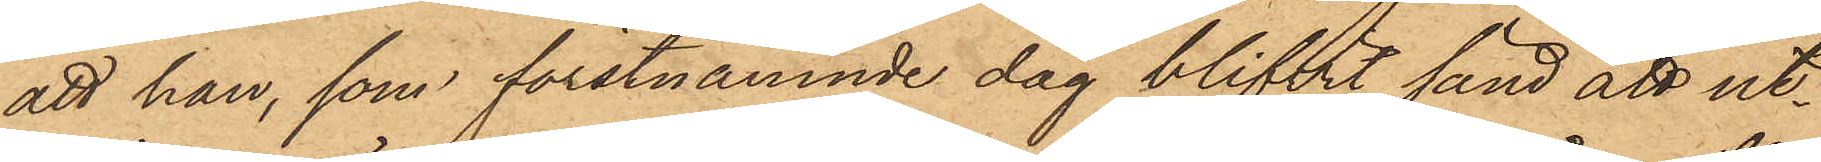att han, som förstnämnde dag blifvit sänd att ut¬
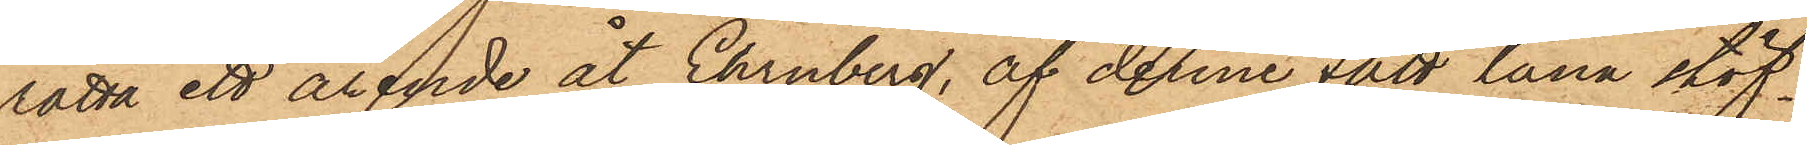rätta ett ärende åt Ehrnberg, af denne fått låna stöf¬
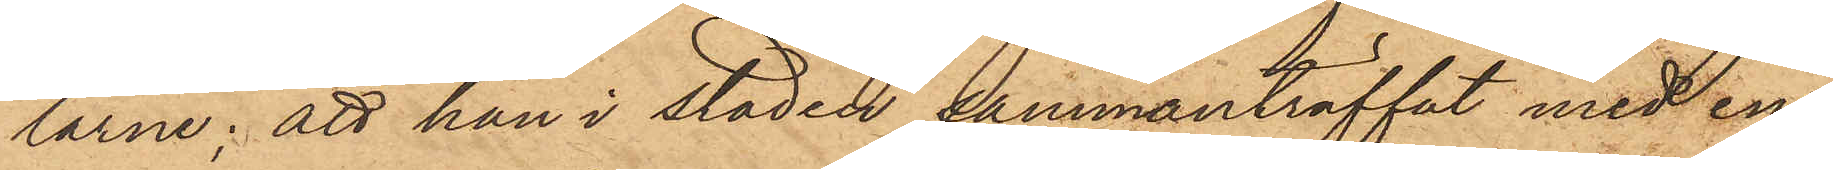larne; att han i staden sammanträffat med en
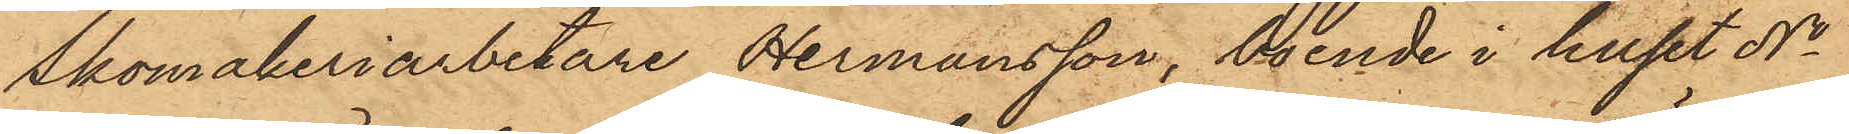Skomakeriarbetare Hermansson, boende i huset No
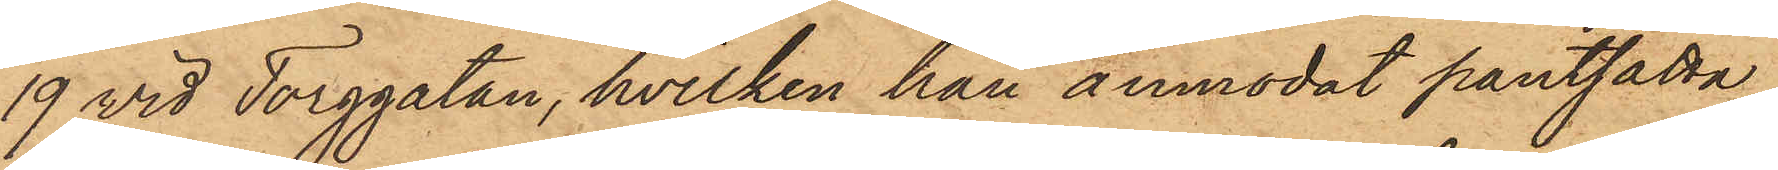19 vid Torggatan, hvilken han anmodat pantsätta
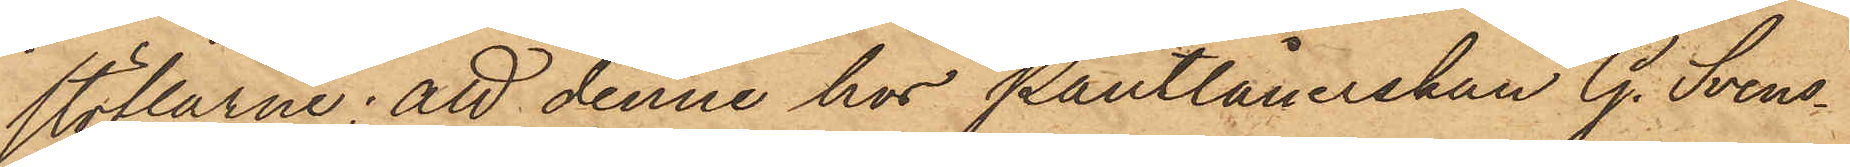stöflarne; att denne hos Pantlånerskan G. Svens¬
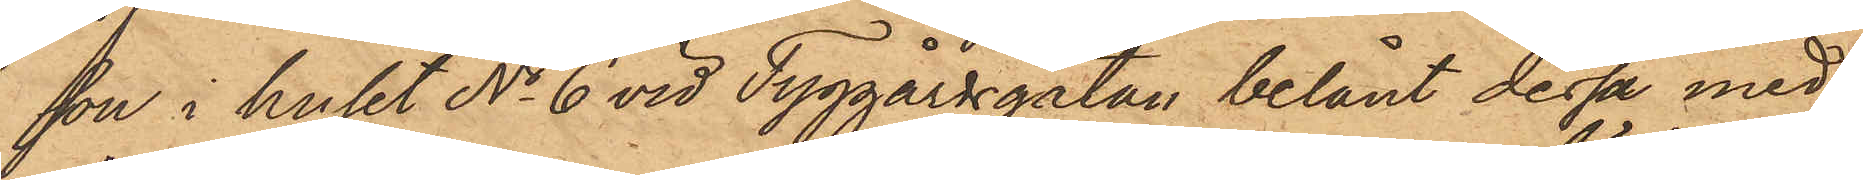son i huset No 6 vid Tyggårdsgatan belånt dessa med
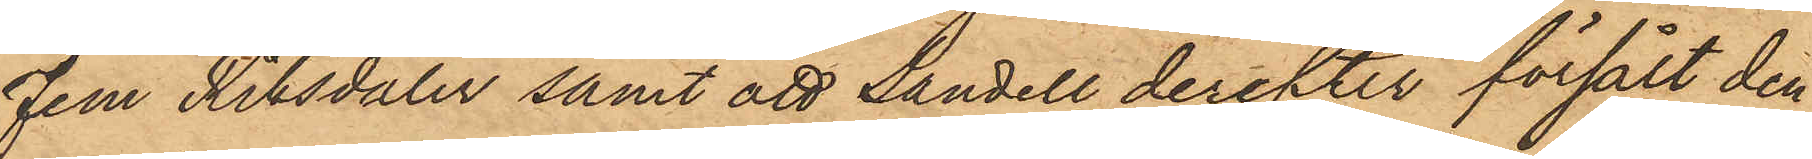Fem Riksdaler samt att Sandell derefter försålt den
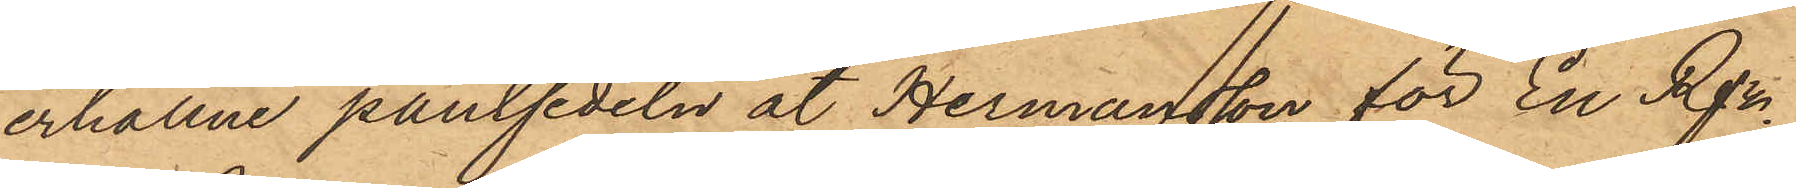erhållne pantsedeln åt Hermansson för En Rdr.
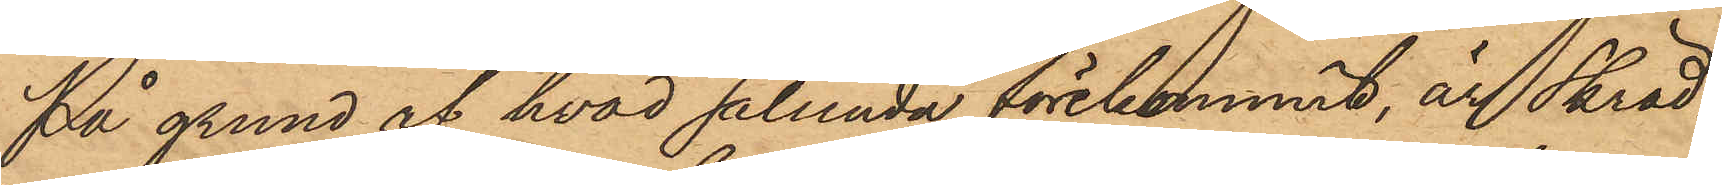På grund af hvad sålunda förekommit, är Skräd¬
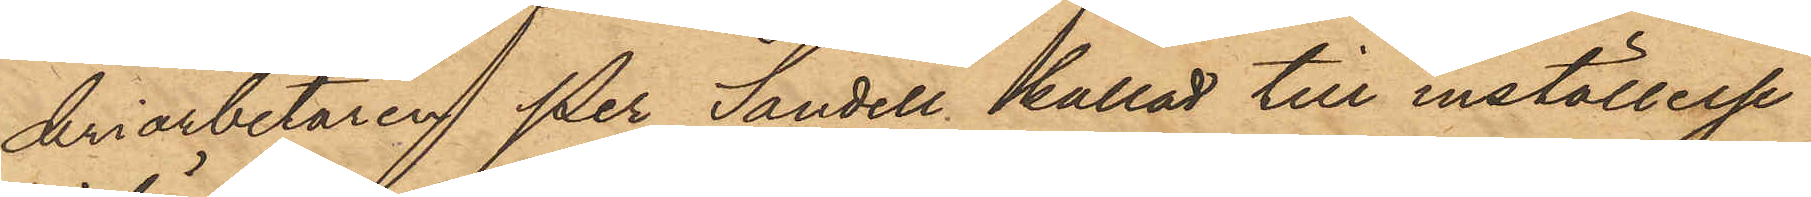deriarbetaren Per Sandell kallad till inställelse
